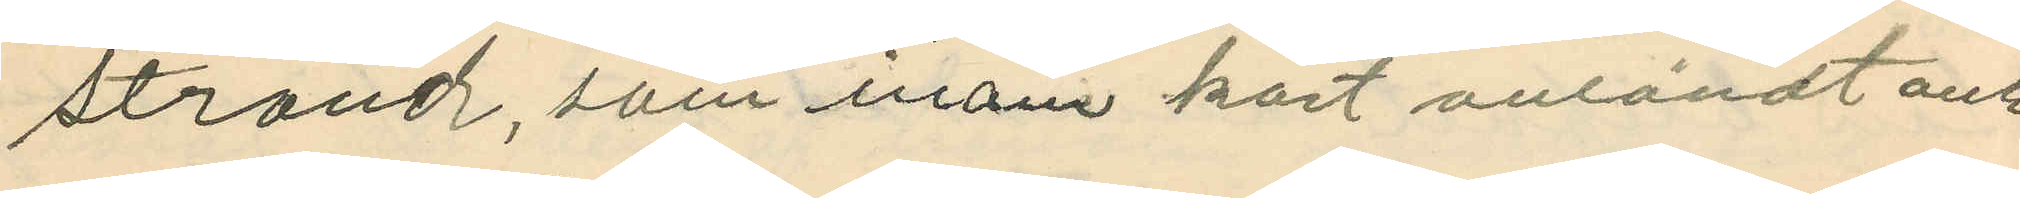strand, som inom kort anländt och
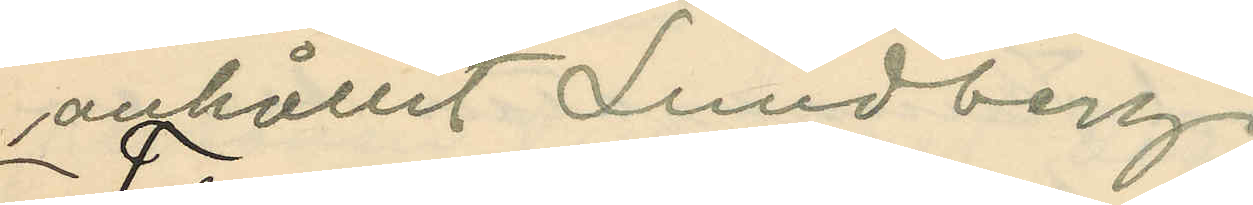anhållit Lundberg.
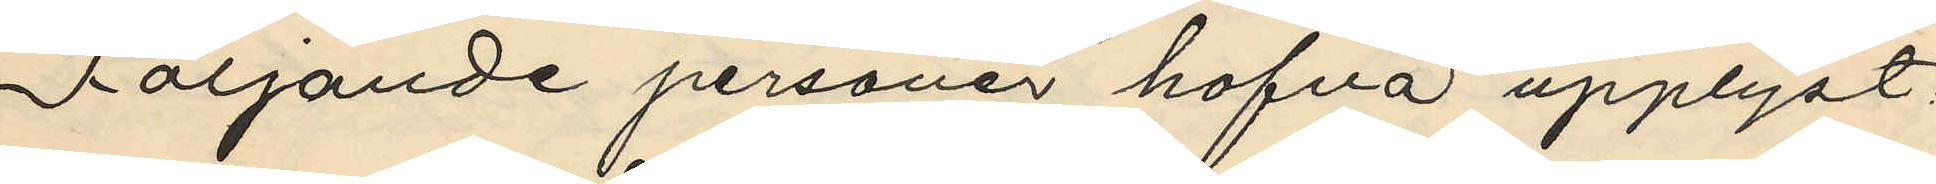1 Följande personer hafva upplyst:
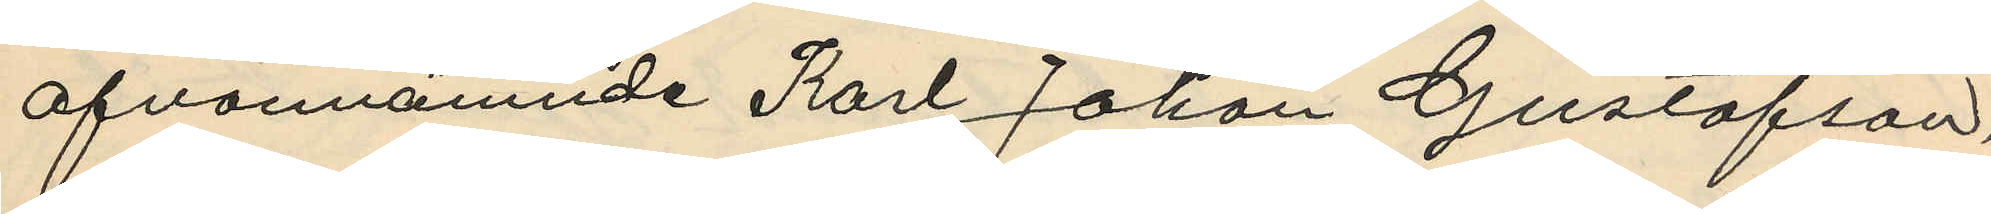ofvannämnde Karl Johan Gustafson,
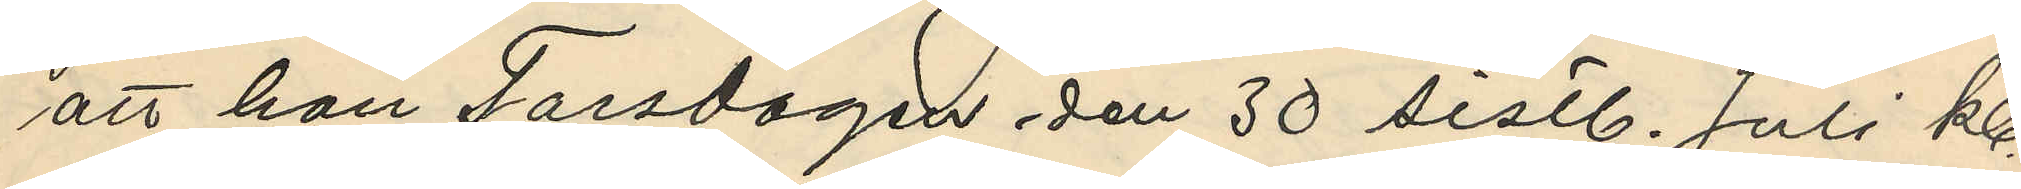att han Torsdagen den 30 sistl. Juli kl.
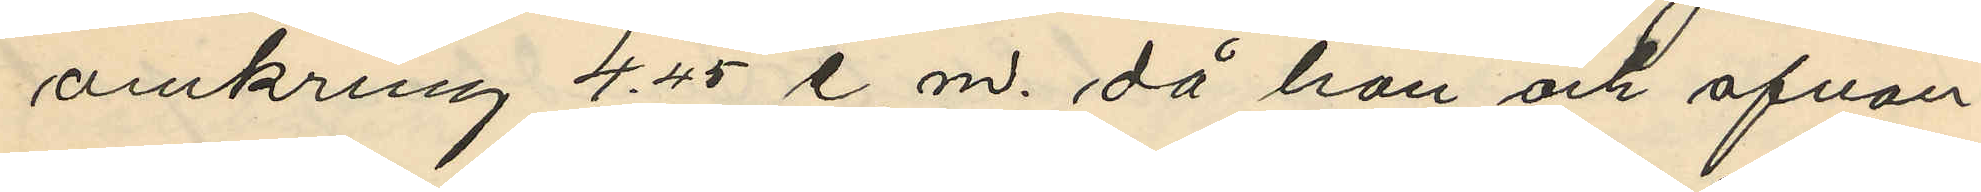omkring 4.45 e. m. då han och ofvan¬
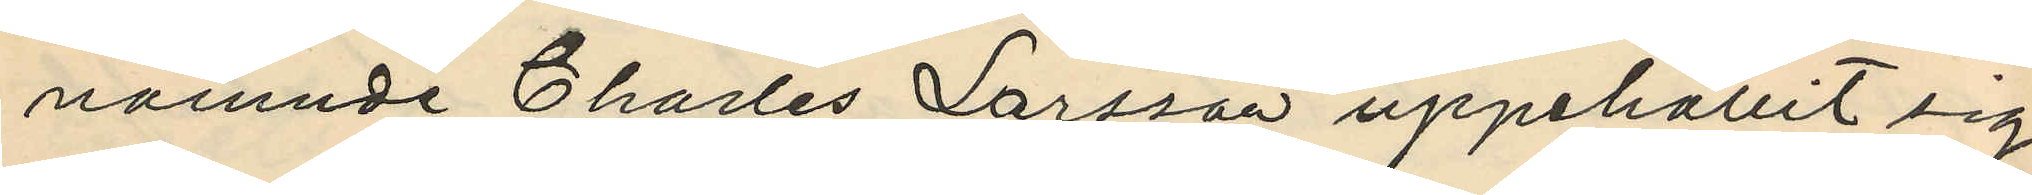namnde Charles Larsson uppehållit sig
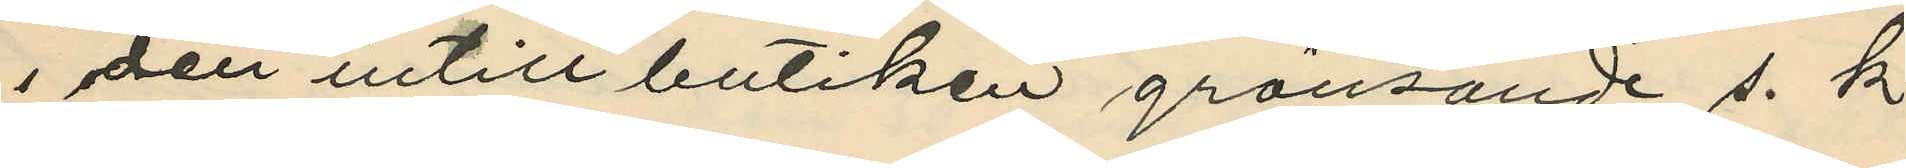i den intill butiken gränsande s. k.
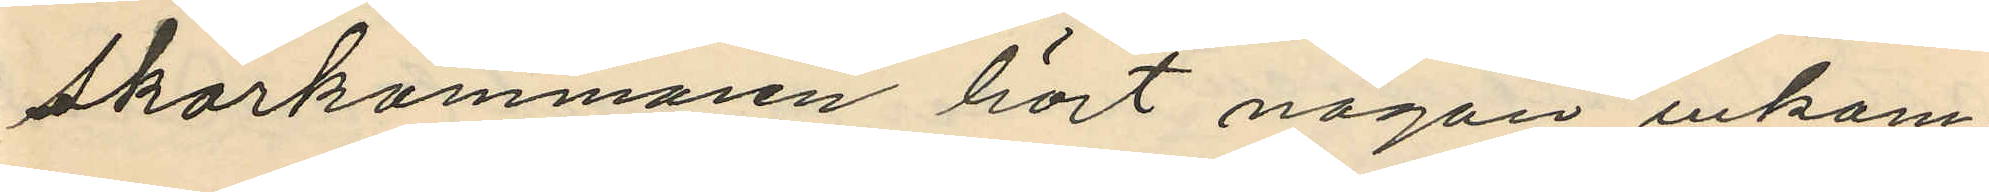skärkammaren hört någon inkom¬
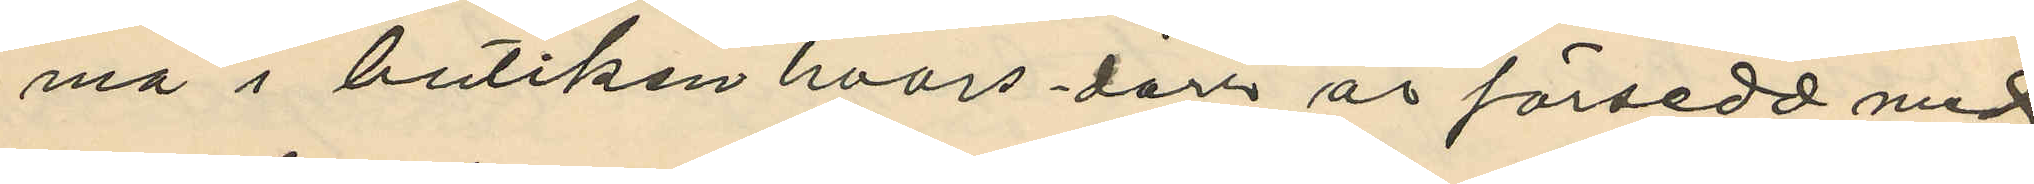ma i butiken hvars dörr är försedd med
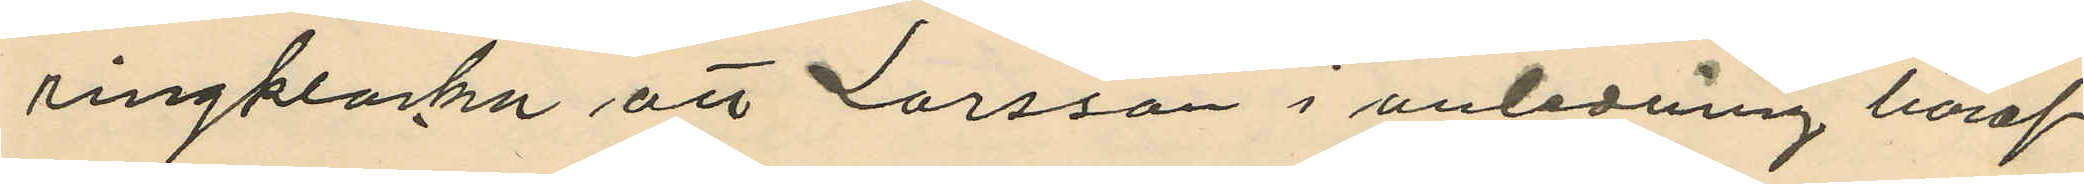ringklocka att Larsson i anledning häraf
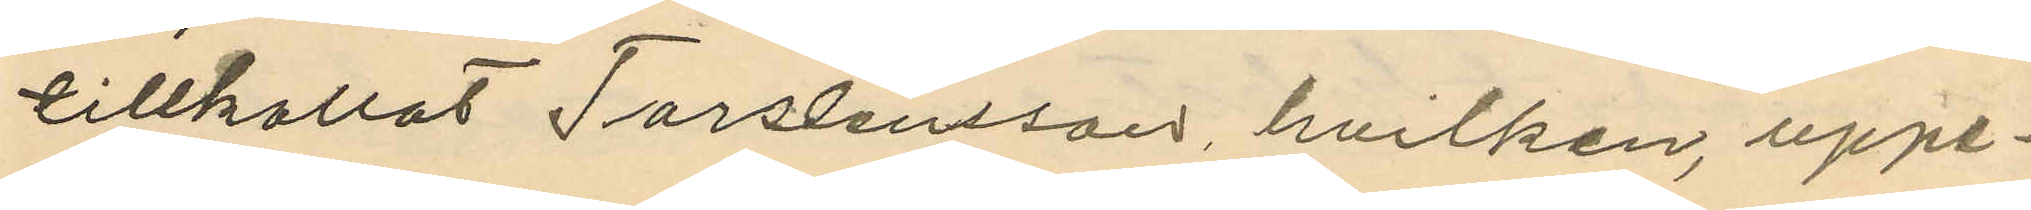tillkallat Torslensson, hvilken, uppe¬
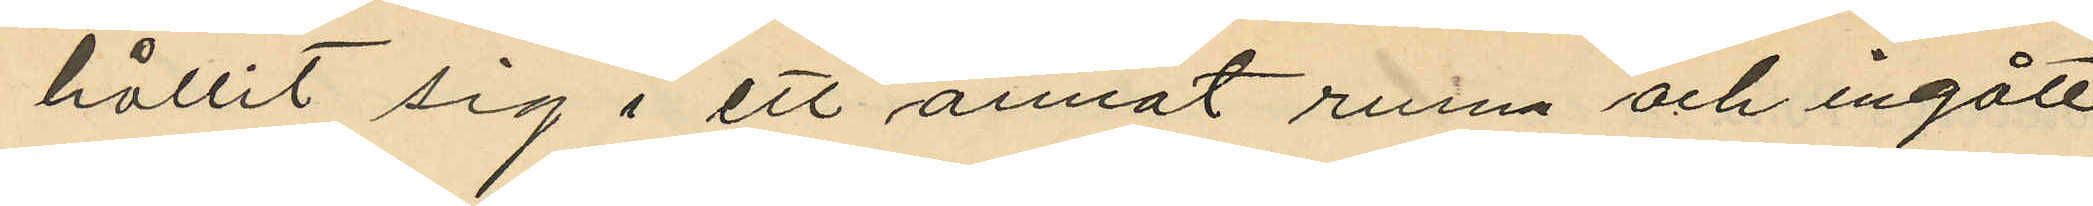hållit sig i ett annat rum och ingått
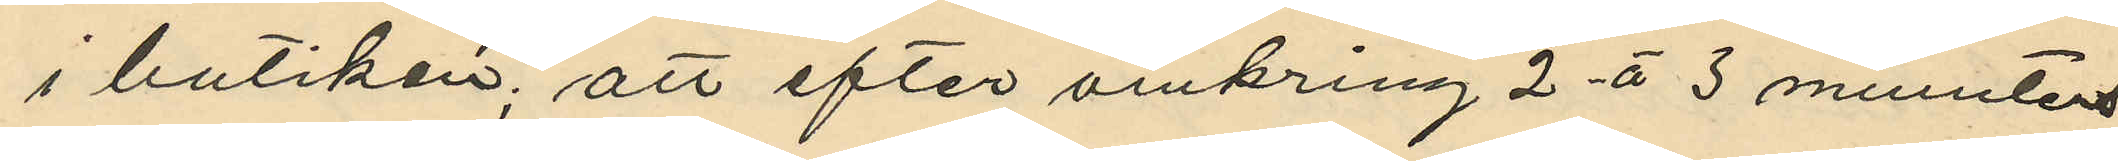i butiken; att efter omkring 2 à 3 minuters
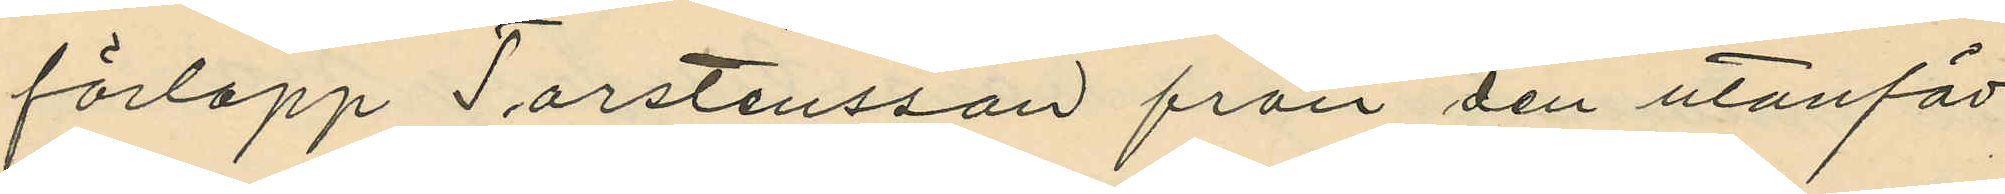förlopp Torstensson från den utanför
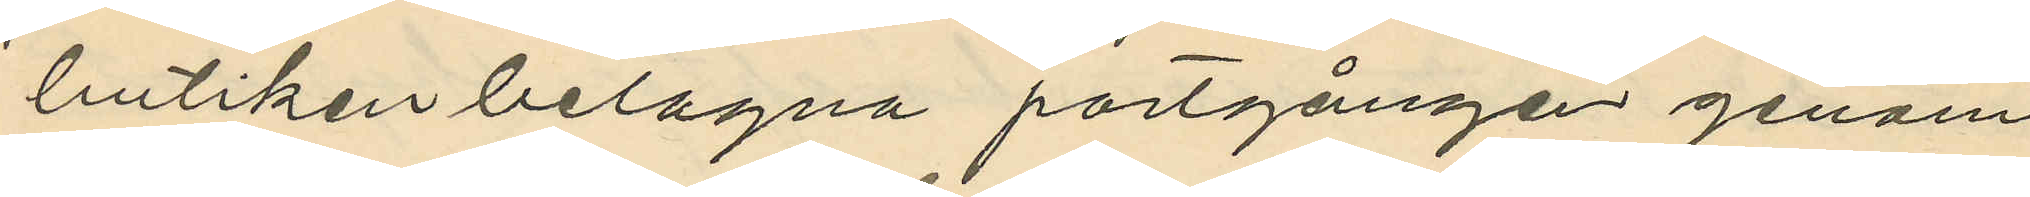butiken belagna portgången genom
